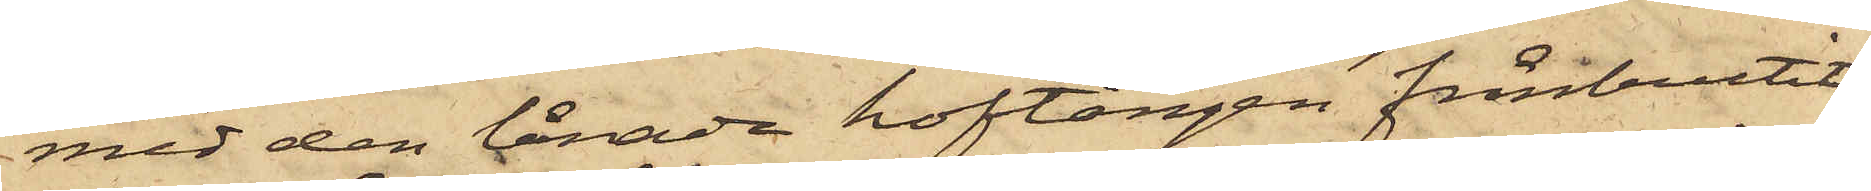med den lånade hoftången frånbrutit
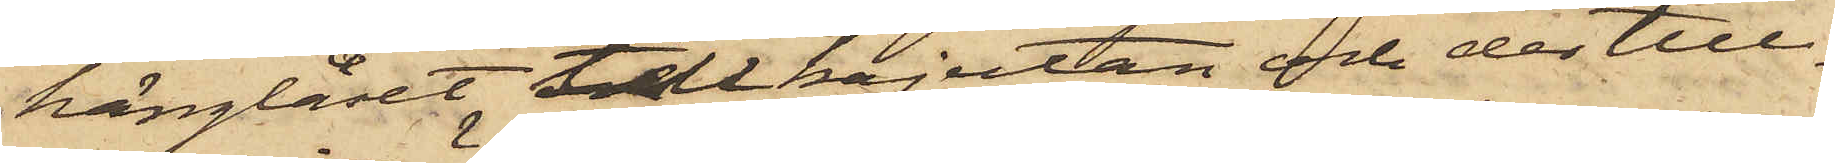hänglåset till kajutan och der till¬
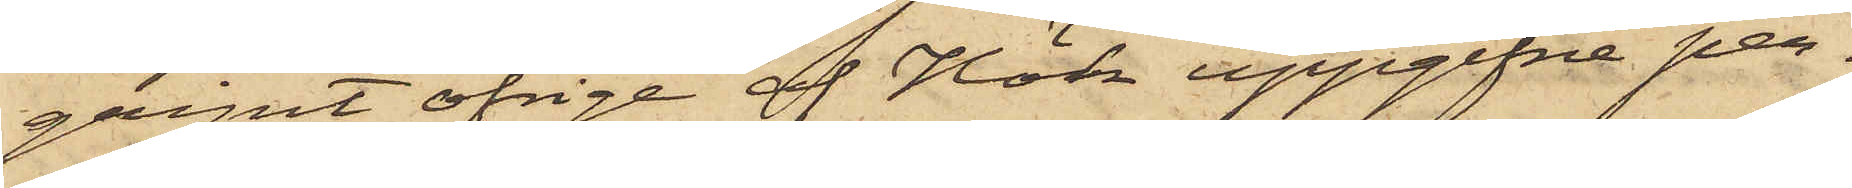gripit öfrige af Hök uppgifne per¬
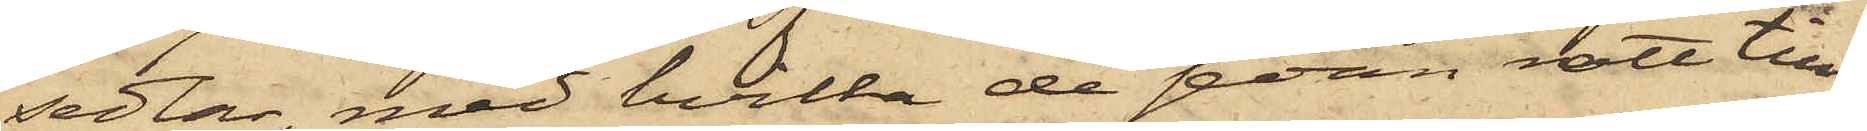sedlar, med hvilka de sedan rott till¬
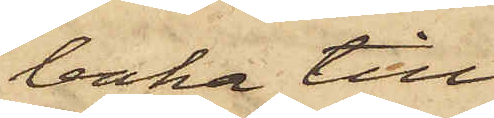baka till
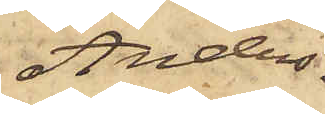Anders¬
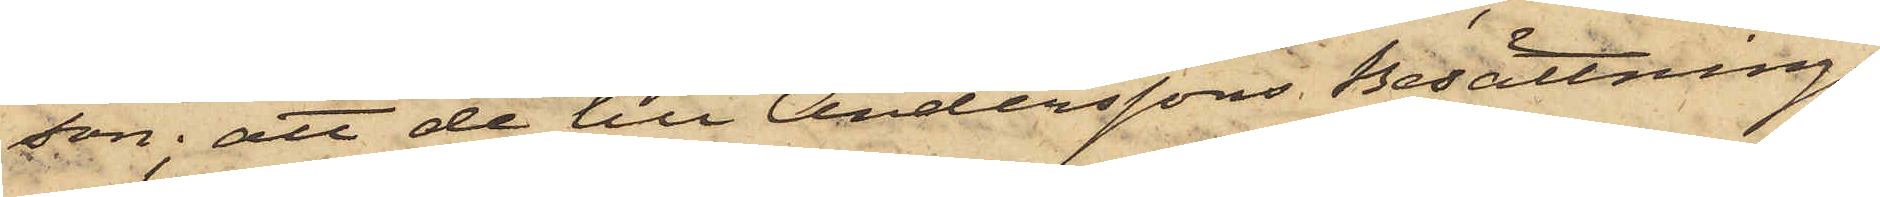son; att de till Anderssons Besättnings¬
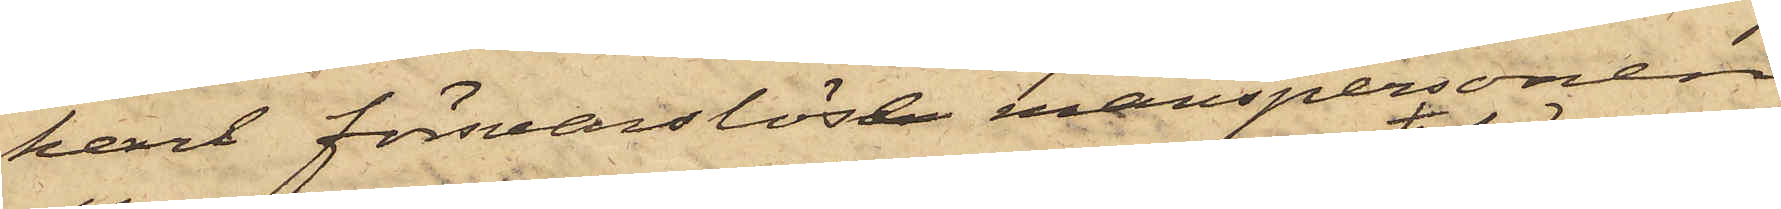karl försvarslöse manspersonen
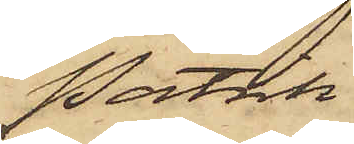Patrik
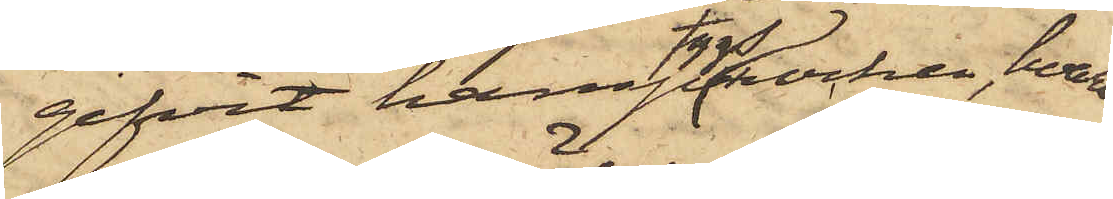gifvit hamptygsrocken, hvar¬
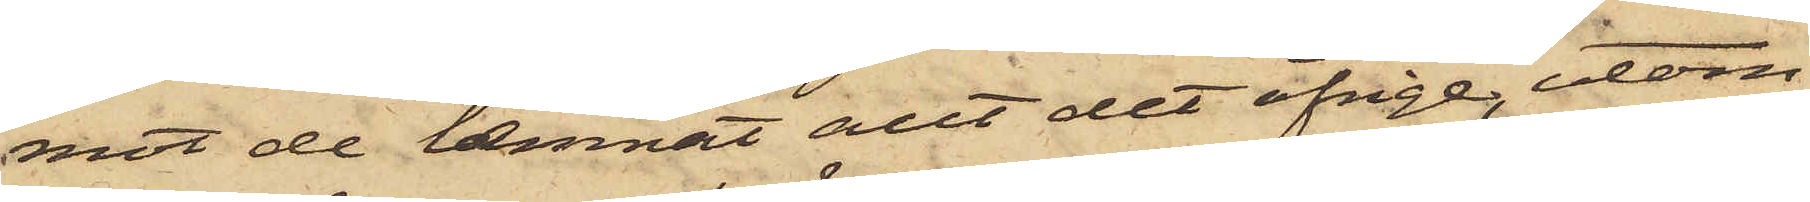emot de lemnat allt det öfrige, utom
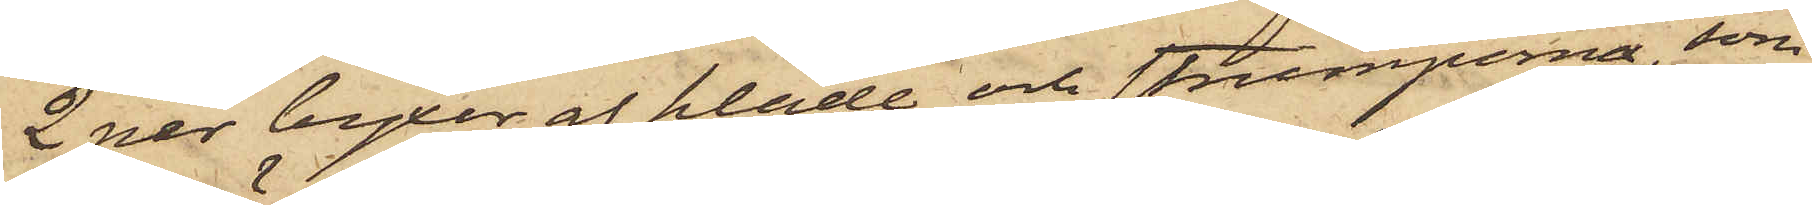2 par byxor af kläde och strumporna, som
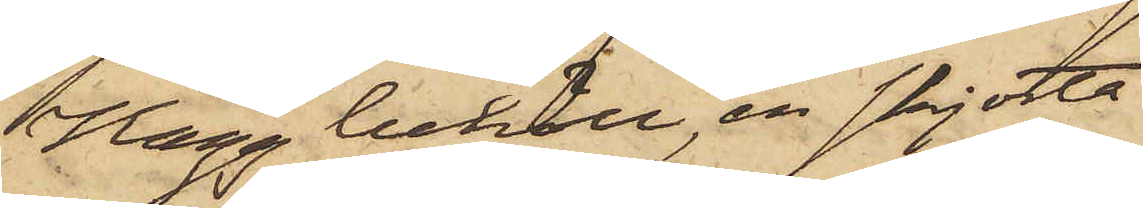Hägg behöll, en skjorta
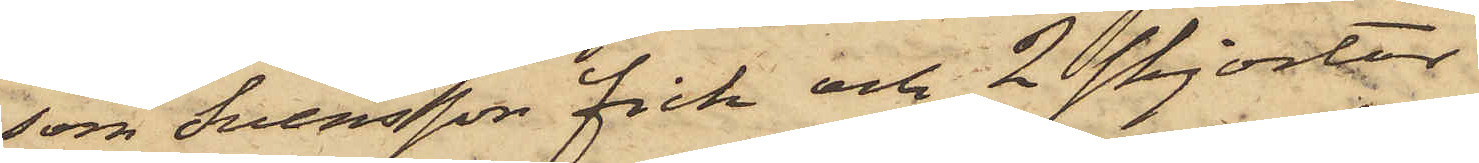som Svensson fick och 2 skjortor
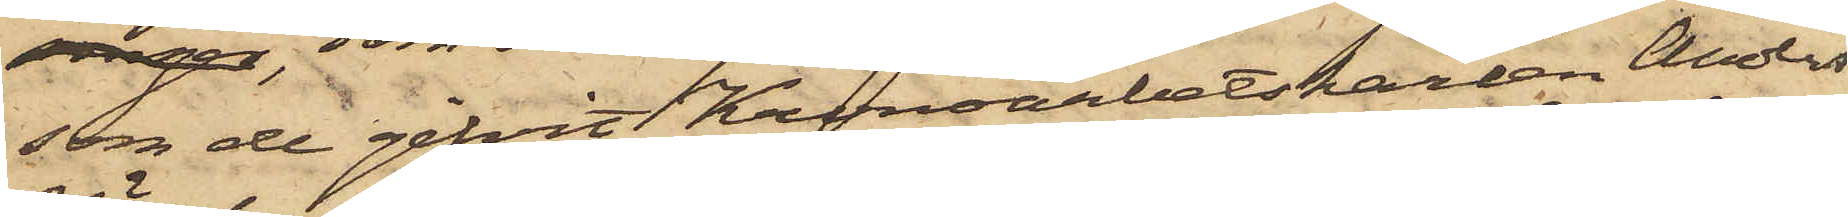som de gifvit Kronoarbetskarlen Anders
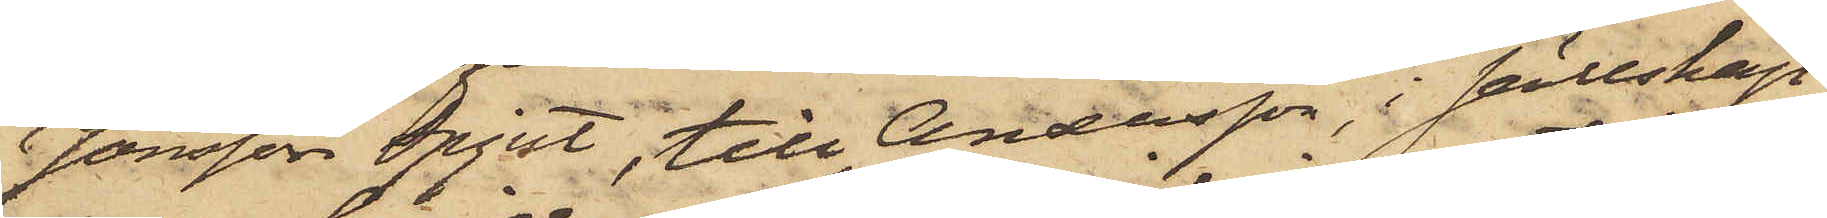Jönsson Spjut, till Andersson, i sällskap
